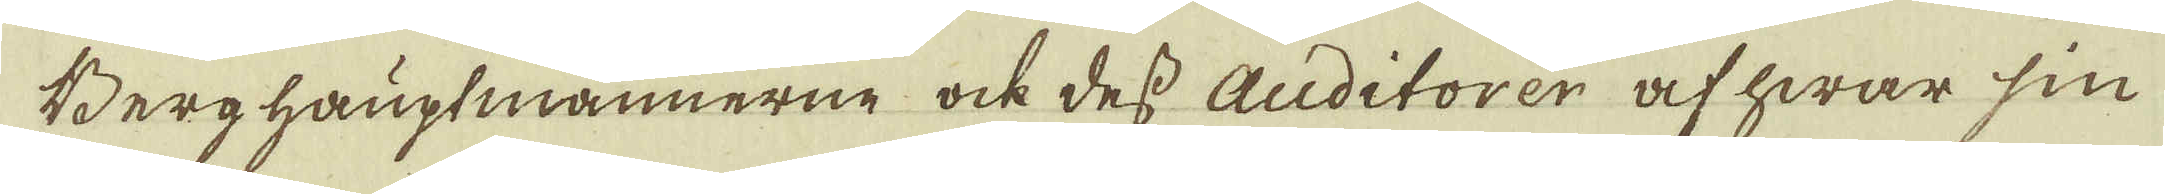Berghauptmännerne ock dess Auditorer af hwar sin
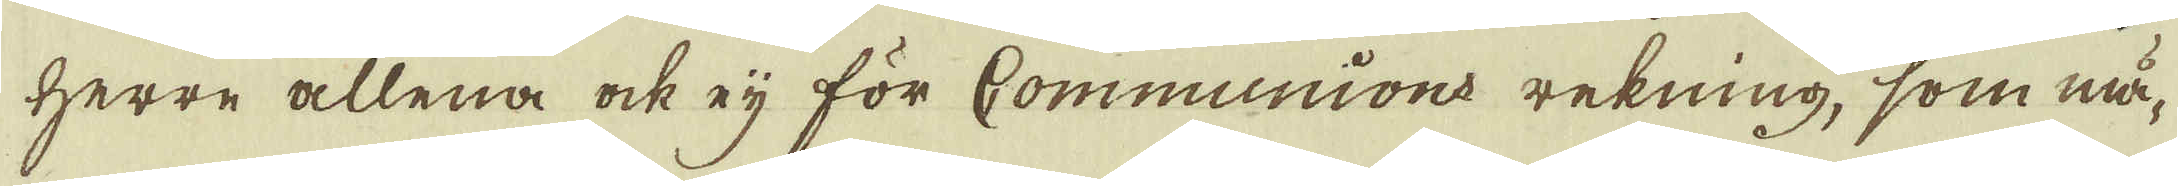Herre allena ock eij för Communions rekning, som mä-
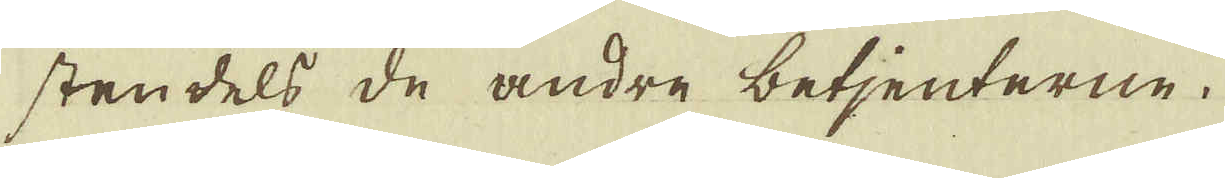stendels de andre betjenterne.
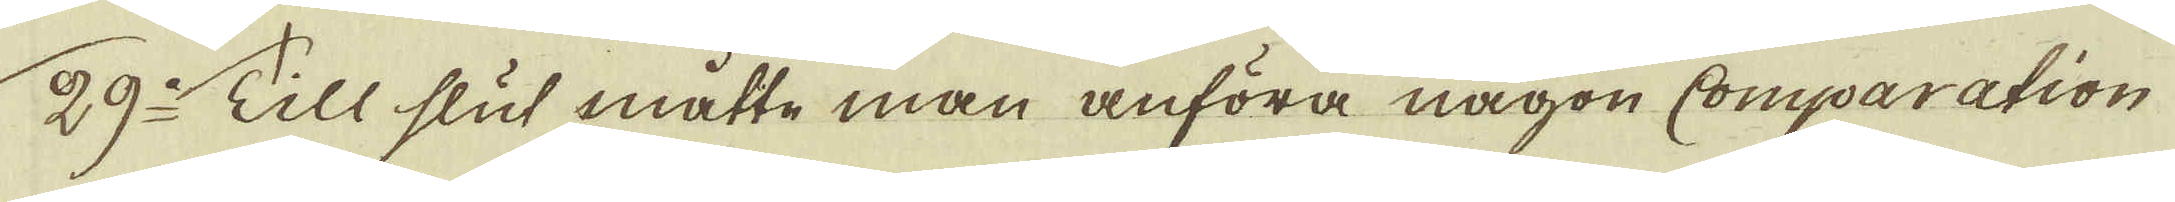29:o Till slut måtte man anföra någon Comparation
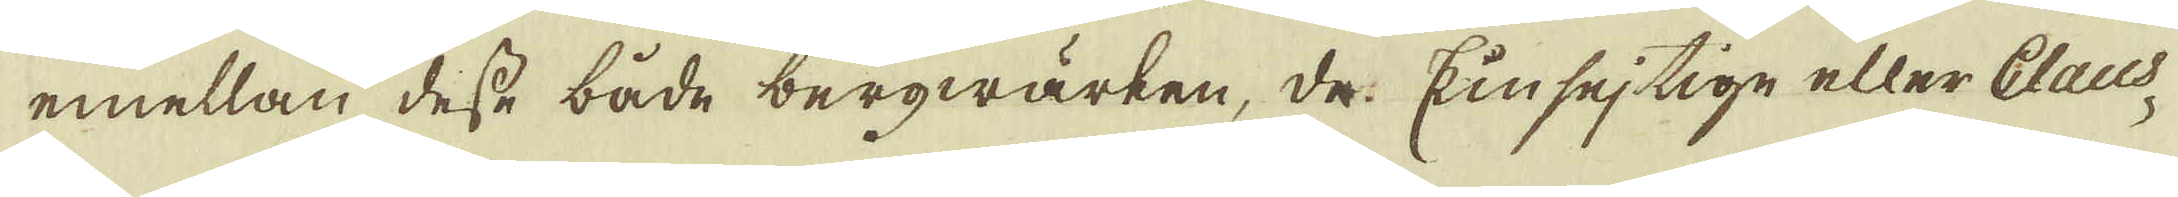emellan desse både bergwärken, de: Kinsejtige eller Claus-
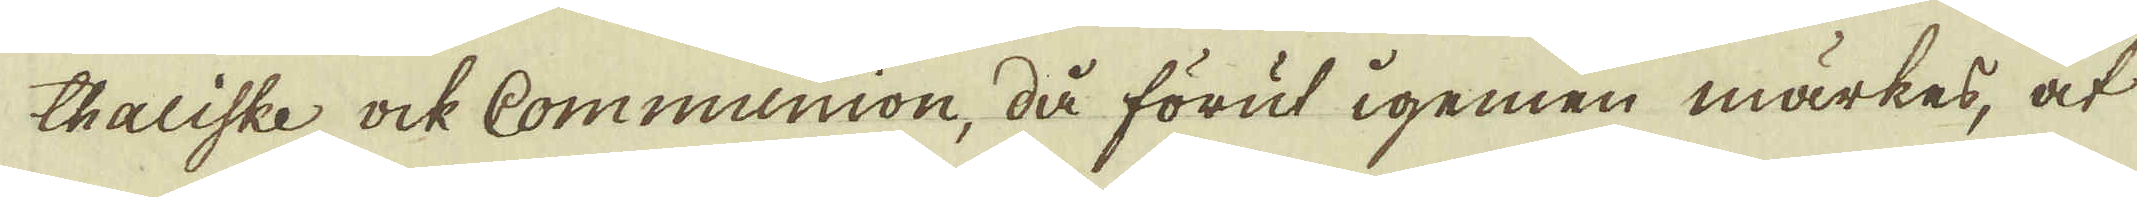thaliske ock Communion, då förut igemen märkes, at
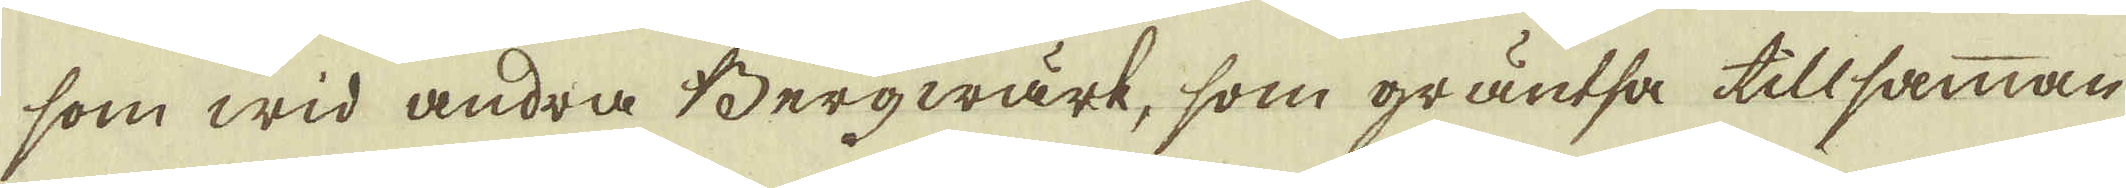som wid andra Bergwärk, som gräntsa tillsamman
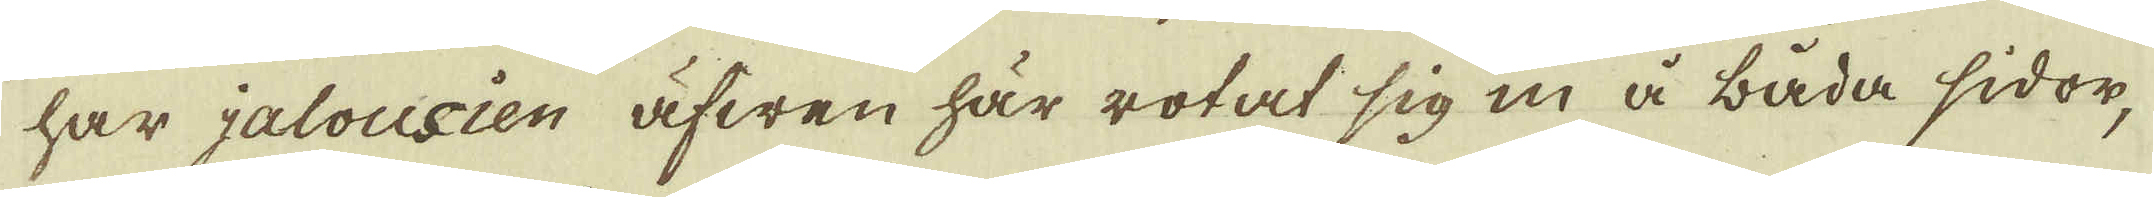har jalousien äfwen här rotat sig in å båda sidor,
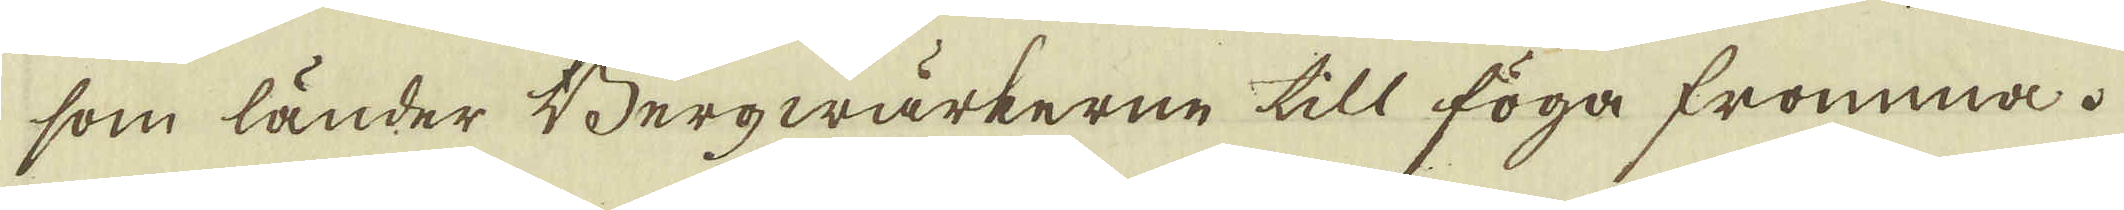som länder Bergwärkerne till föga fromma.
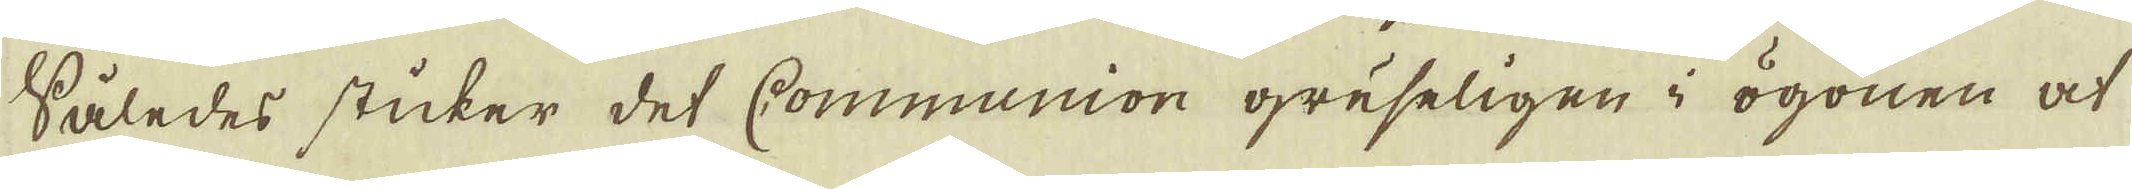Således sticker det Communion gruseligen i ögonen at
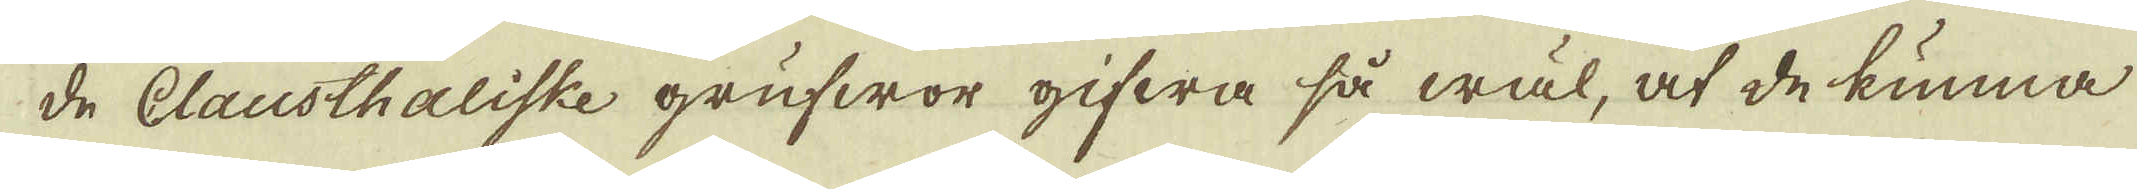de Clausthaliske grufwor gifwa så wäl, at de kunna
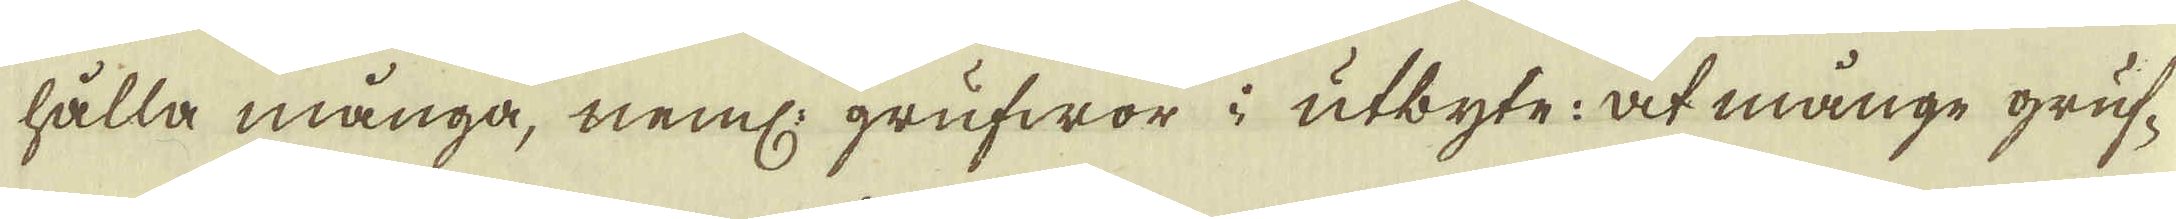hålla många, neml: grufwor i utbyte: at månge gruf-
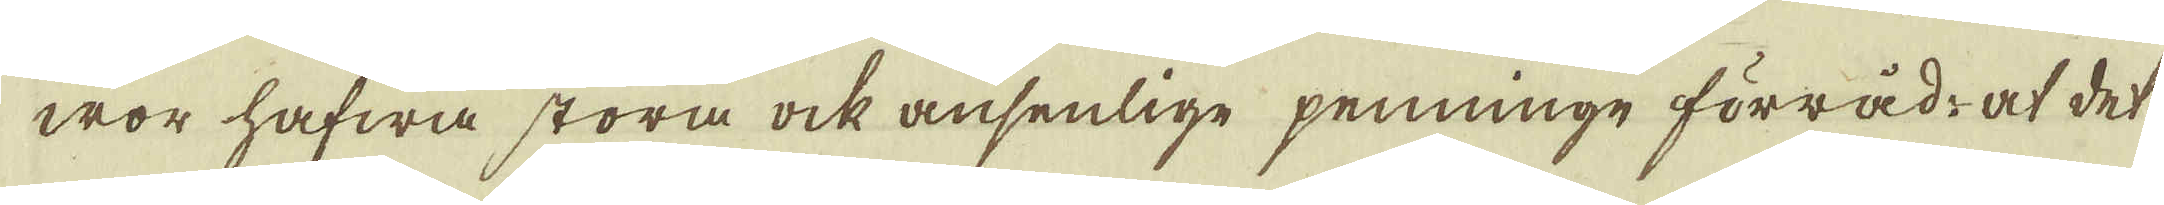wor hafwa stora ock ansenlige penninge förråd, at det
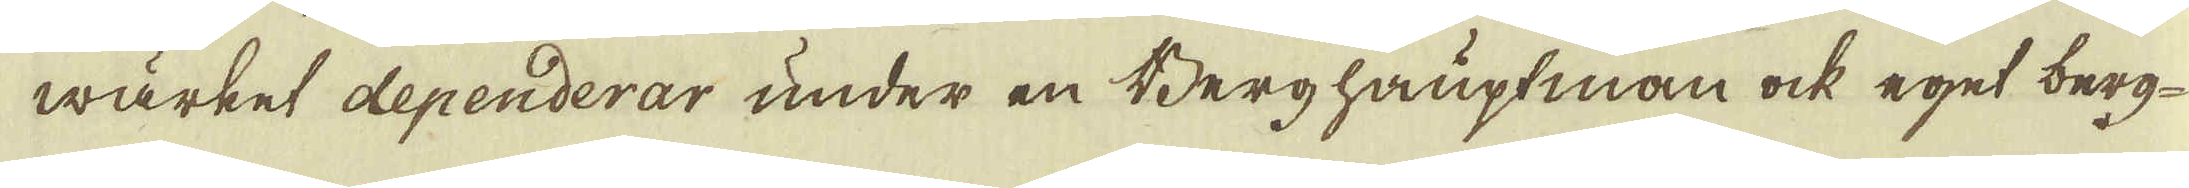wärket dependerar under en Berghauptman ock eget berg-
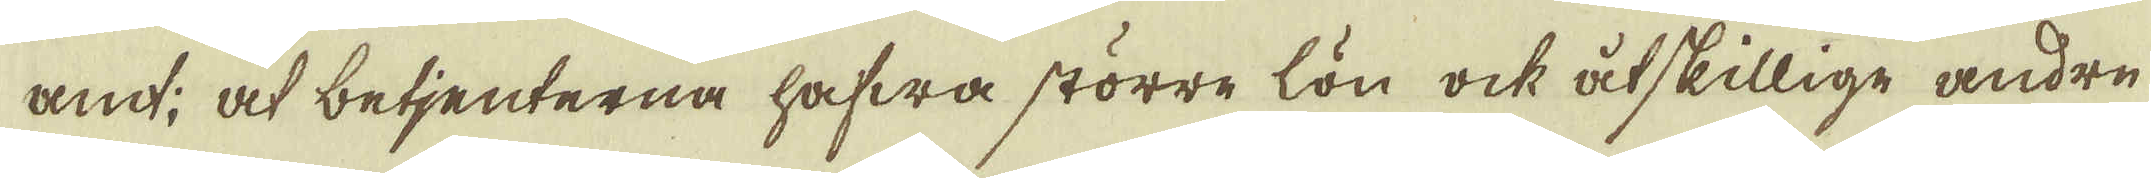amt, at betjenterna hafwa större lön ock åtskillige andre
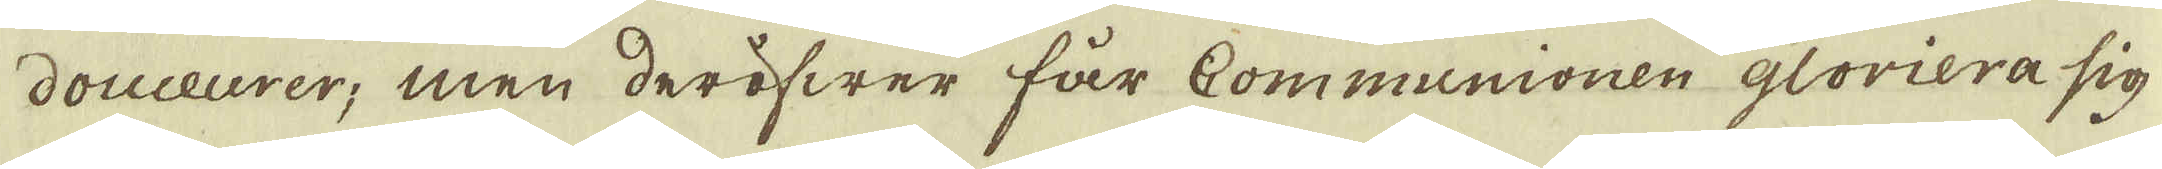douceurer; men deröfwer får Communionen gloriera sig
